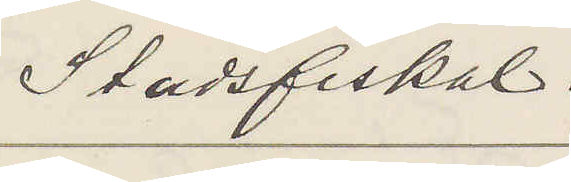Stadsfiskal.
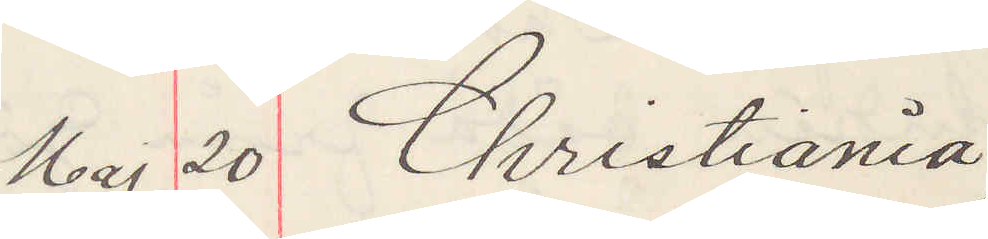Maj 20 Christiania
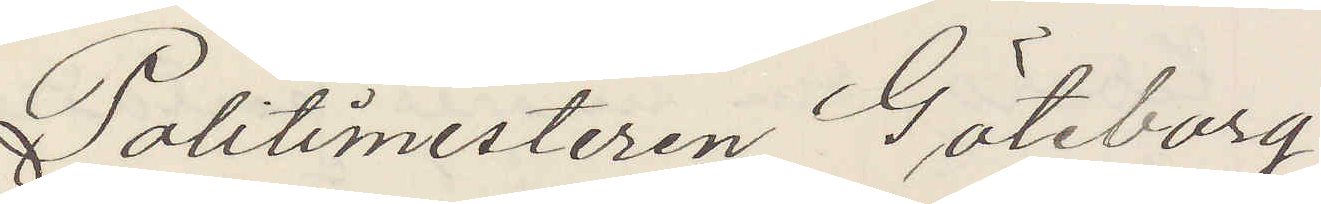Politimesteren Göteborg
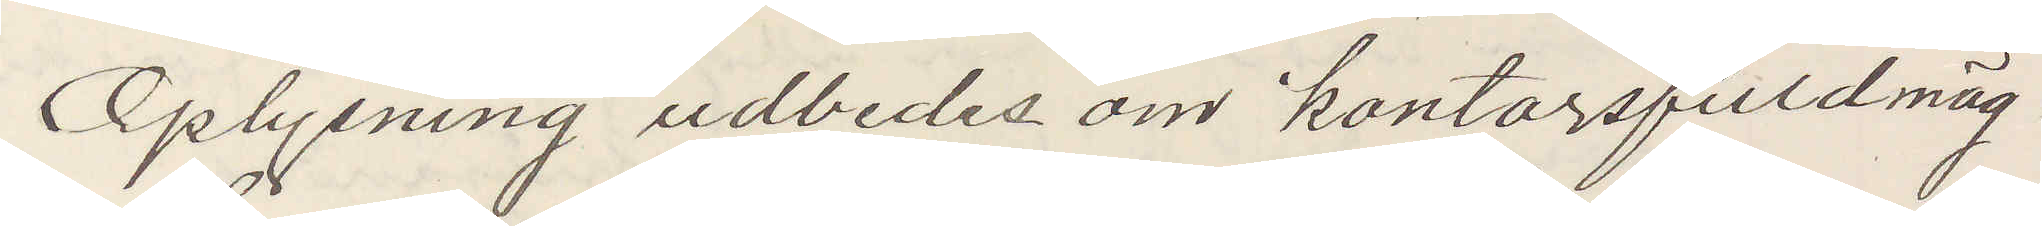Oplysning udbedes om kontorsfuldmäg¬
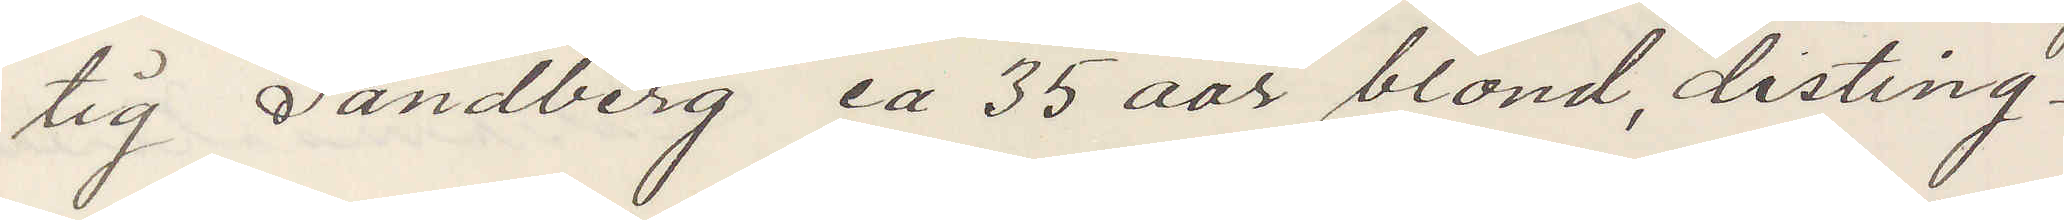tig Sandberg ca 35 aar, blond, distin¬
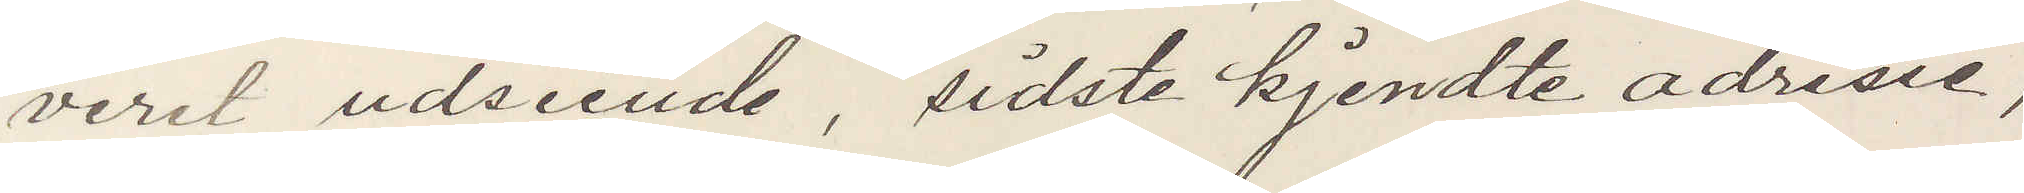veret udseende, sidste kjendte adresse,
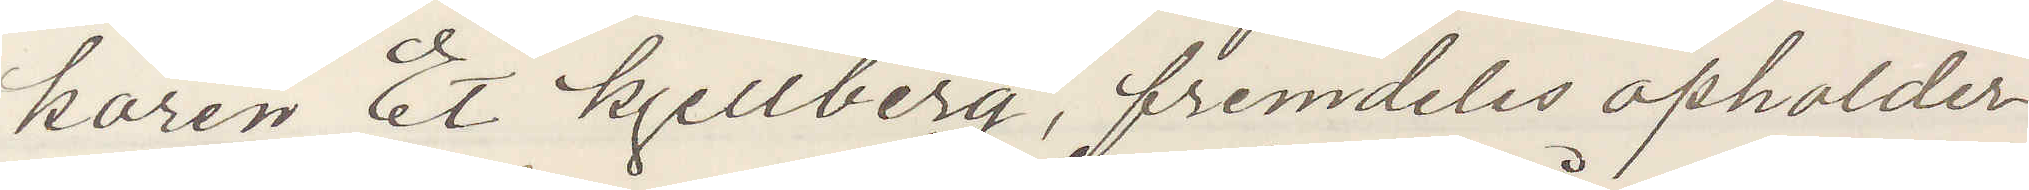karen Et Kjellberg, fremdeles opholder
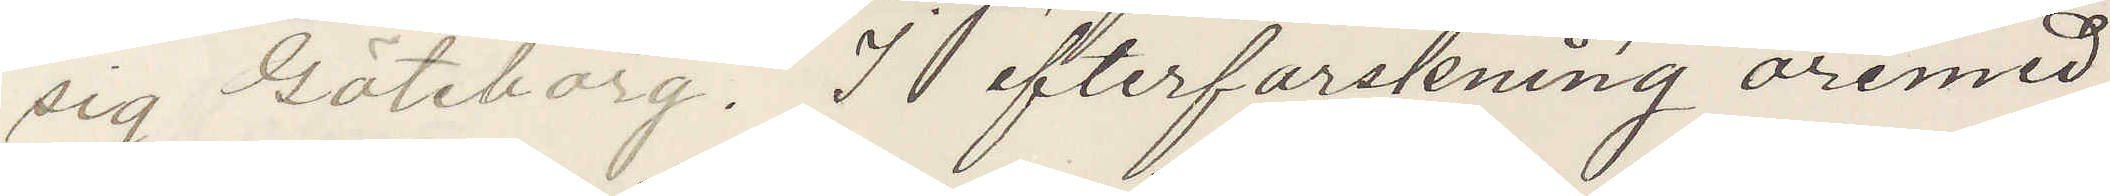sig Göteborg. I efterforskning åremed
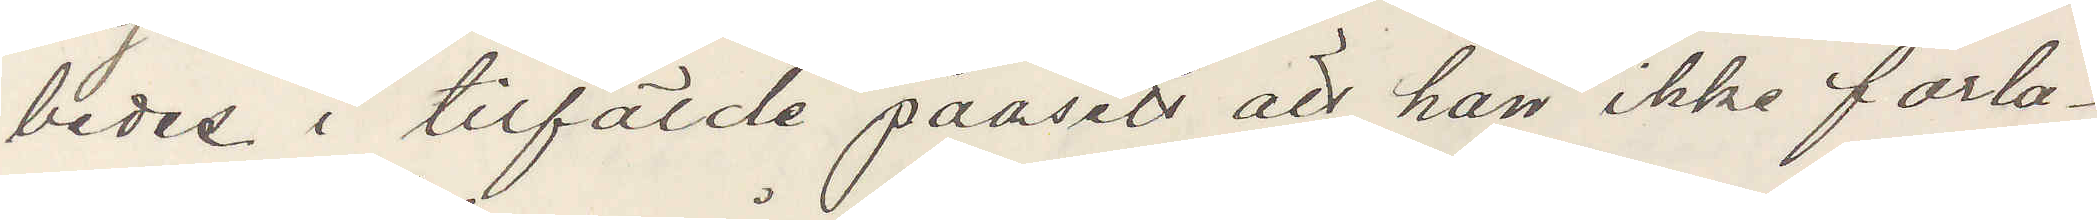bedes i tilfälde paasett att han ikke forla¬
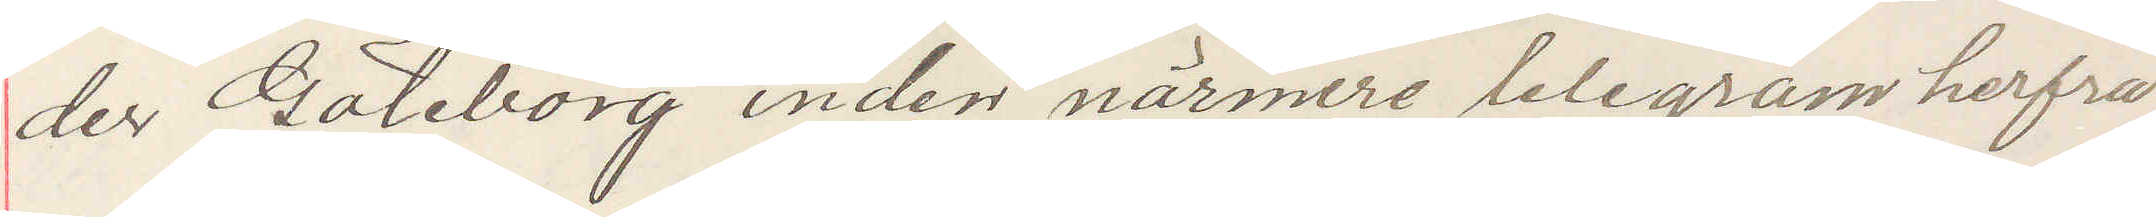der Göteborg inden närmere telegram herfra
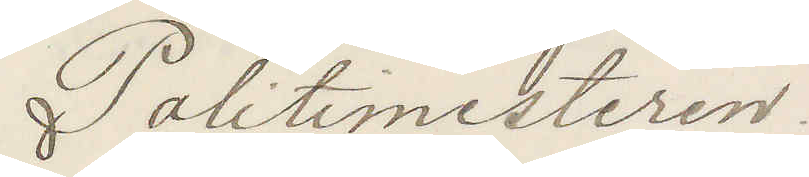Politimesteren
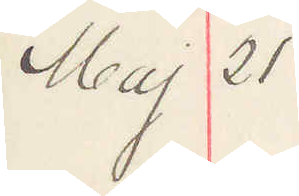Maj 21
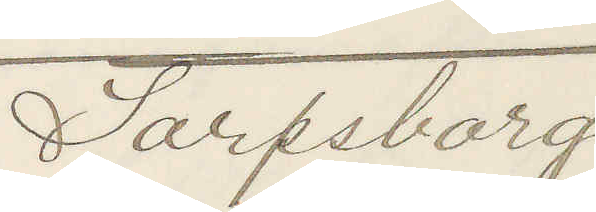Sarpsborg
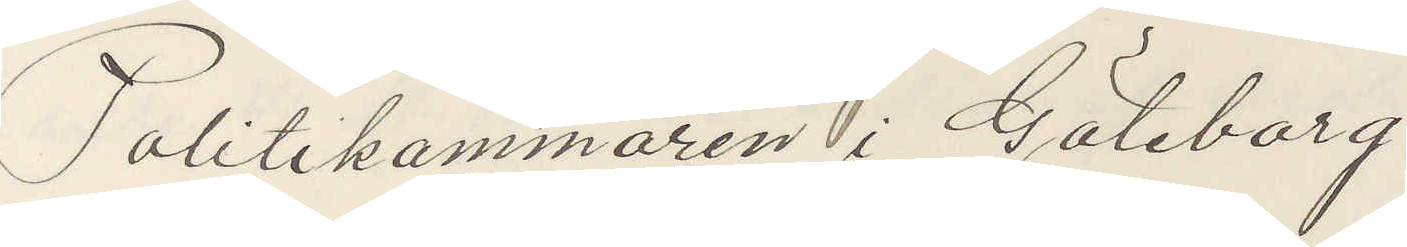Politikammaren i Göteborg.
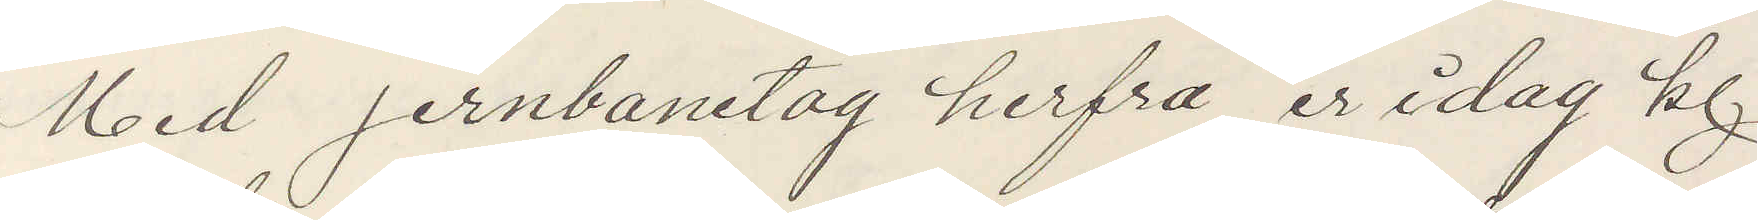Med jernbanetag herfra er idag kl
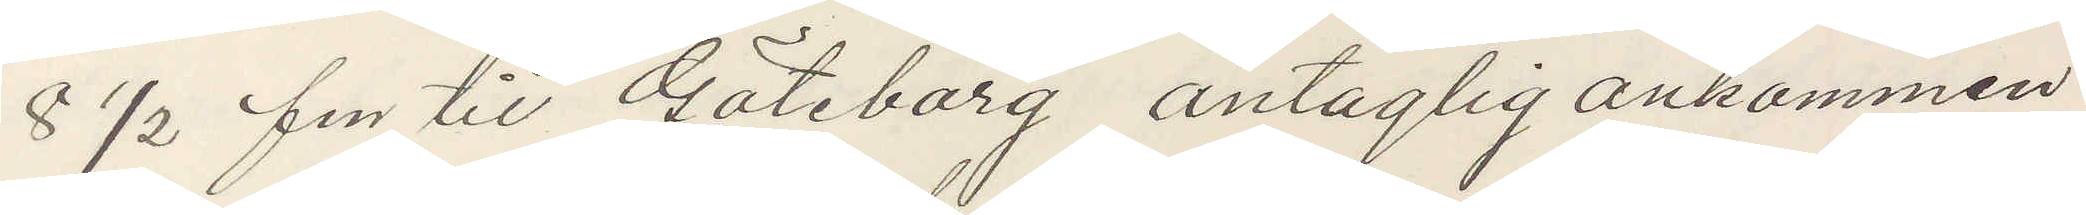8 ½ f m til Göteborg antaglig ankommen
